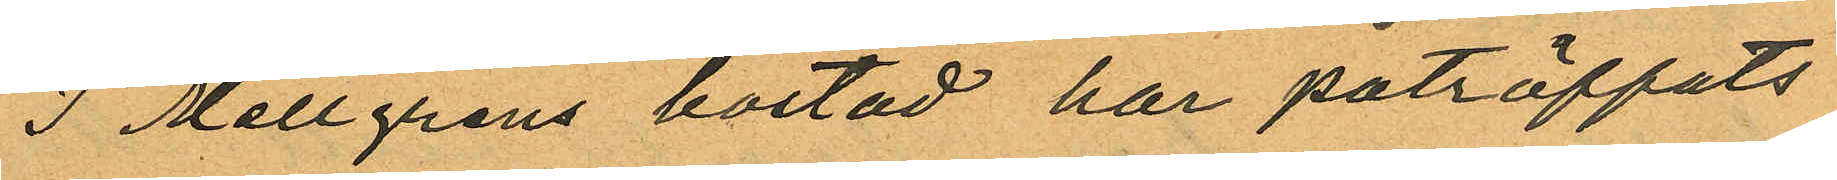I Mellgrens bostad har påträffats
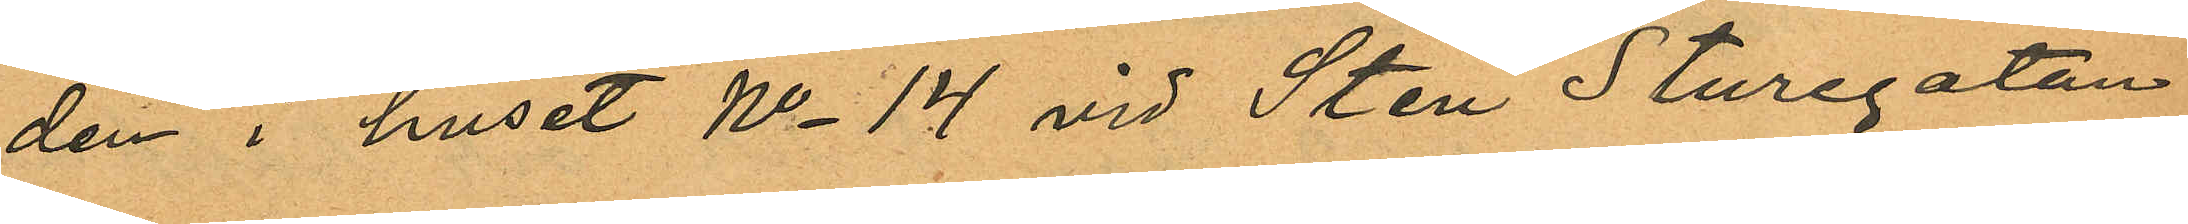den i huset No 14 vid Sten Sturegatan
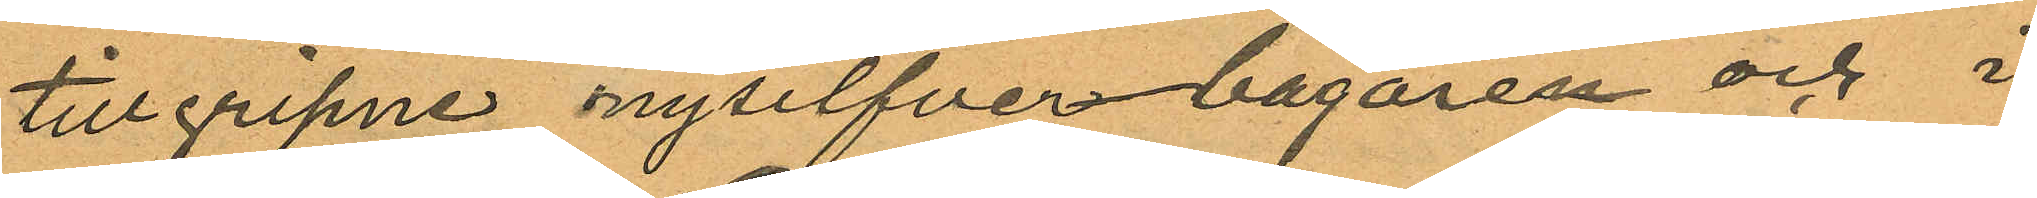tillgripne nysilfverbägaren och i
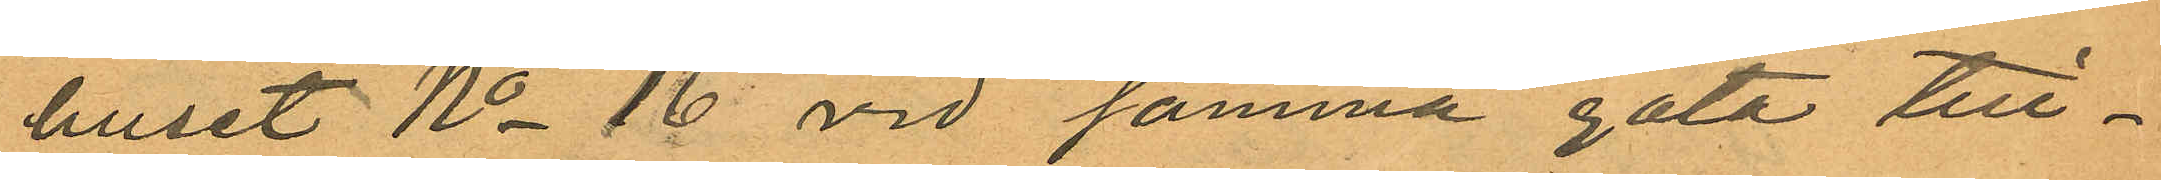huset No 16 vid samma gata till¬
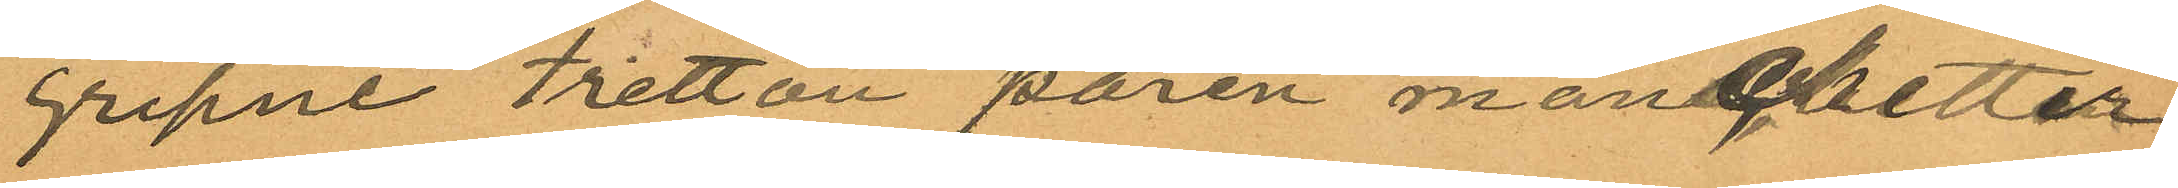gripne tretton paren manchetter
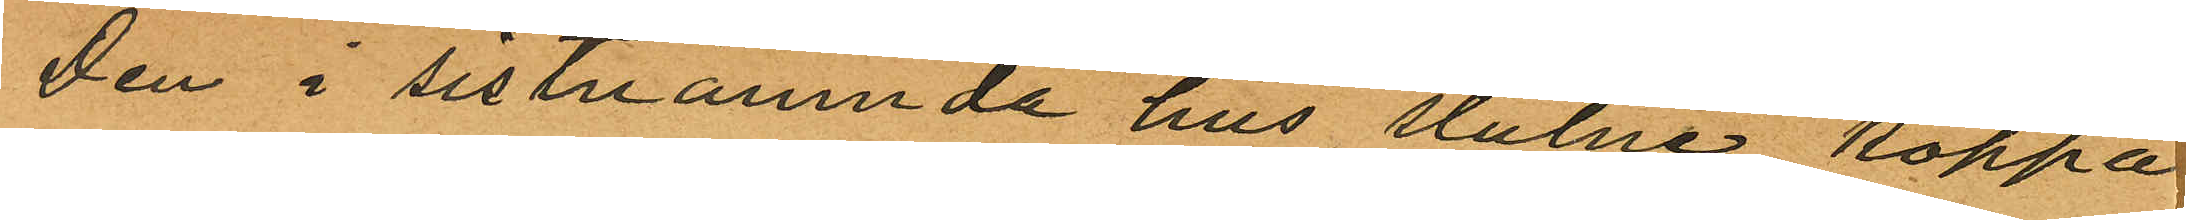Den i sistnämnda hus stulne koppa
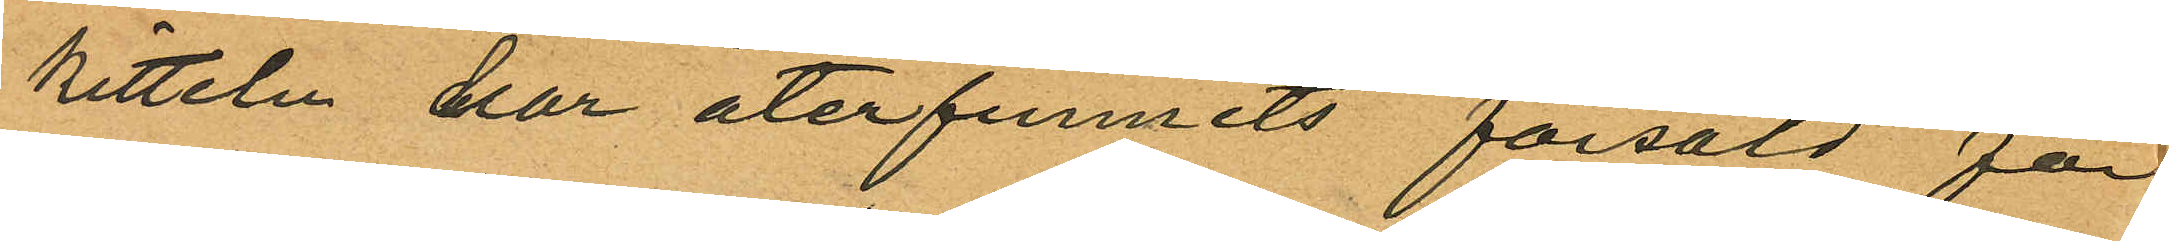kitteln har återfunnits försåld för
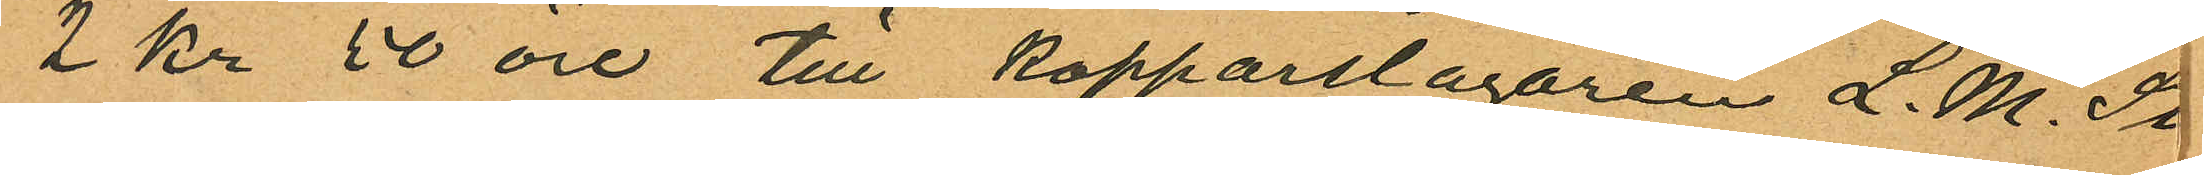2 Kr 50 öre till Kopparslagaren L. M. St
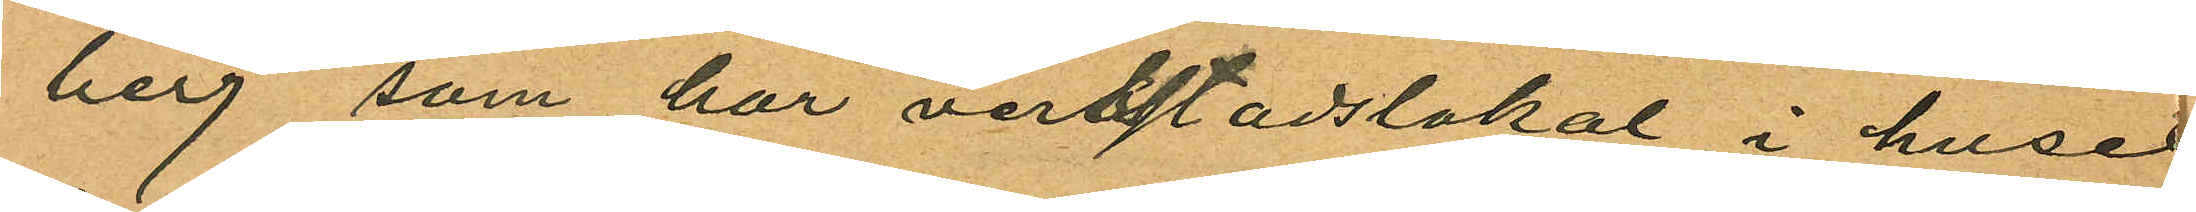berg som har verkstadslokal i huset
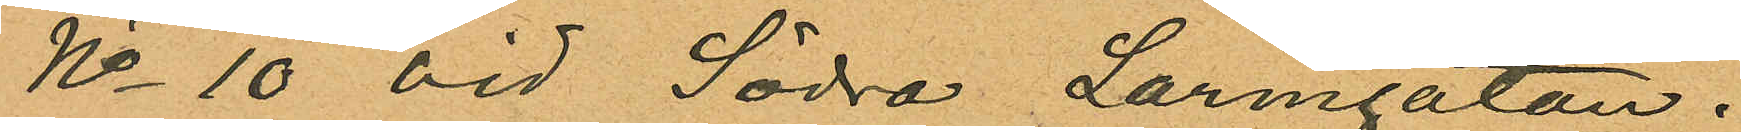No 10 vid Södra Larmgatan.
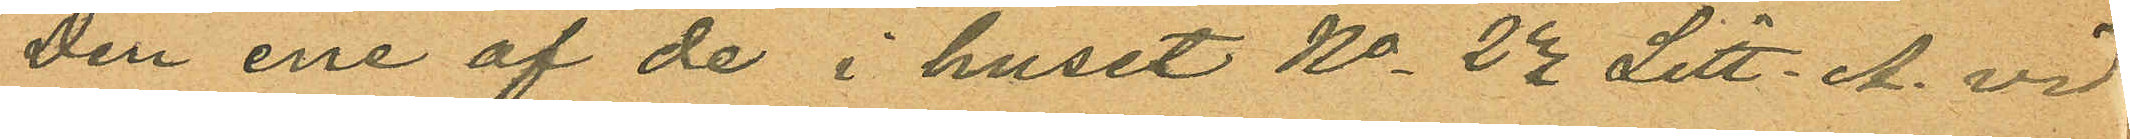Den ene af de i huset No 22 Litt. A. vid
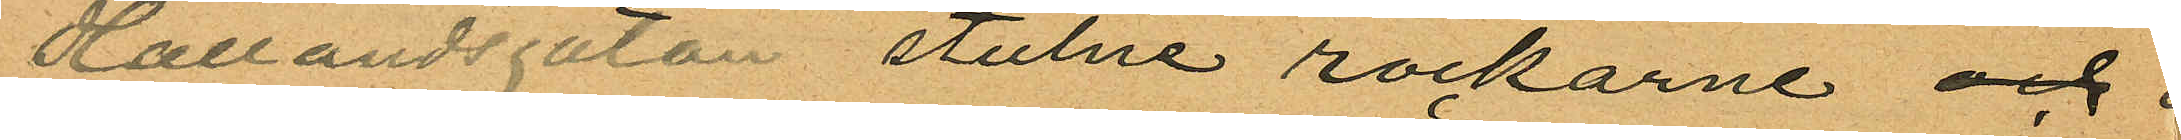Hallandsgatan stulne rockarne och
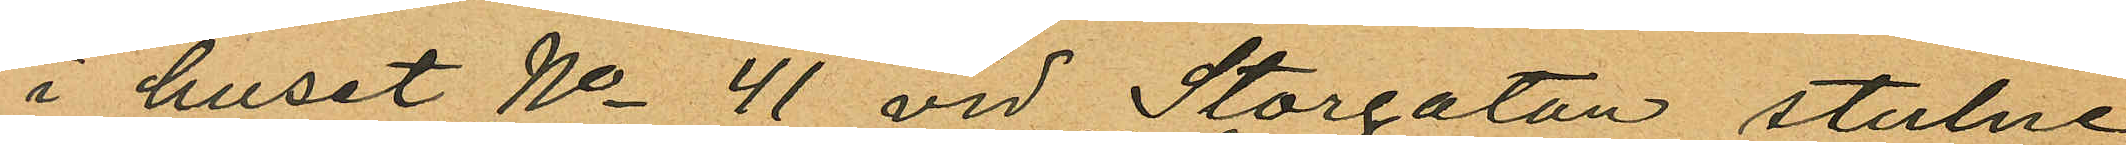i huset No 41 vid Storgatan stulne
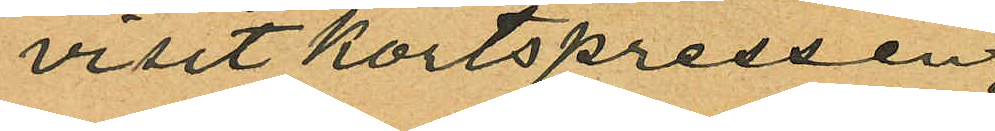visitskortspressen
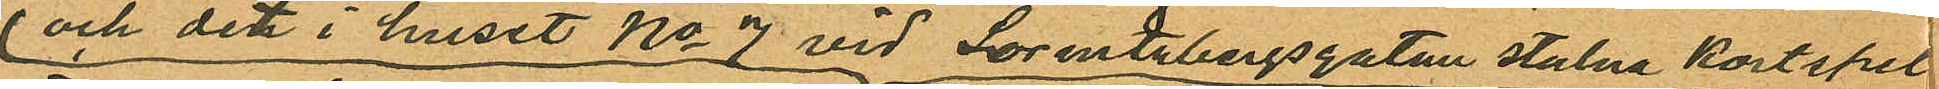 och det i huset No 7 vid Lorentzbergsgatan stulna kortspel
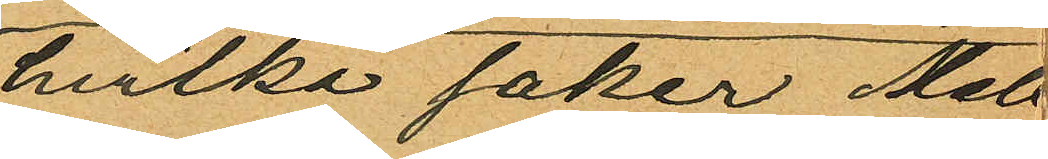hvilka saker Mel
